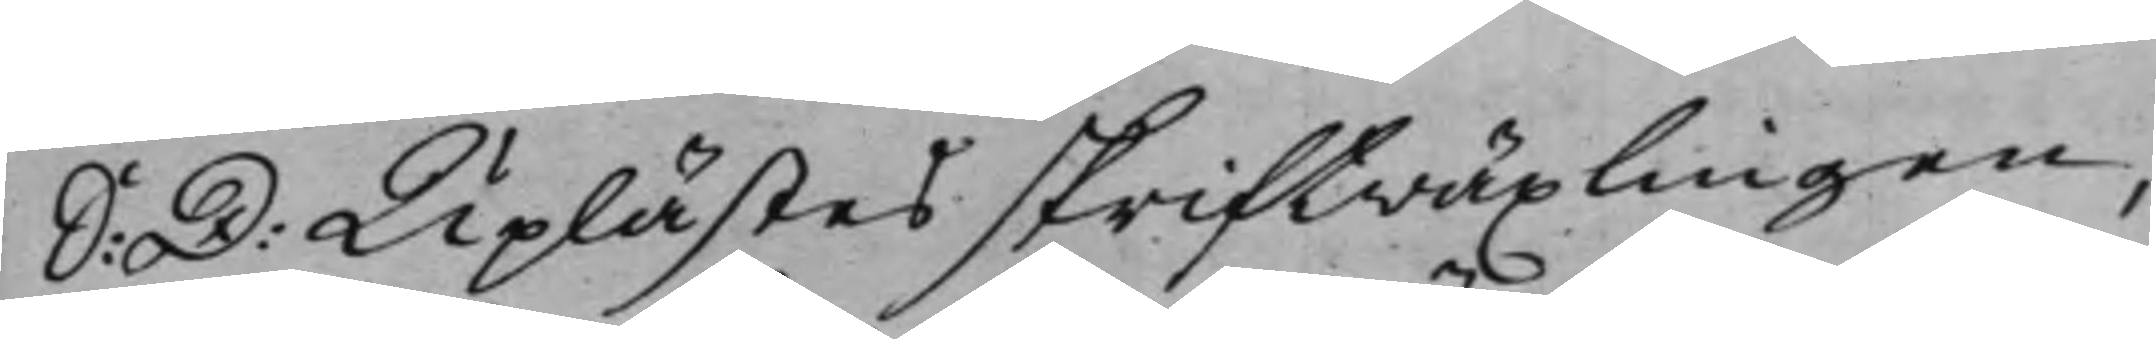S: D: Uplästes skriftwäxlingen,
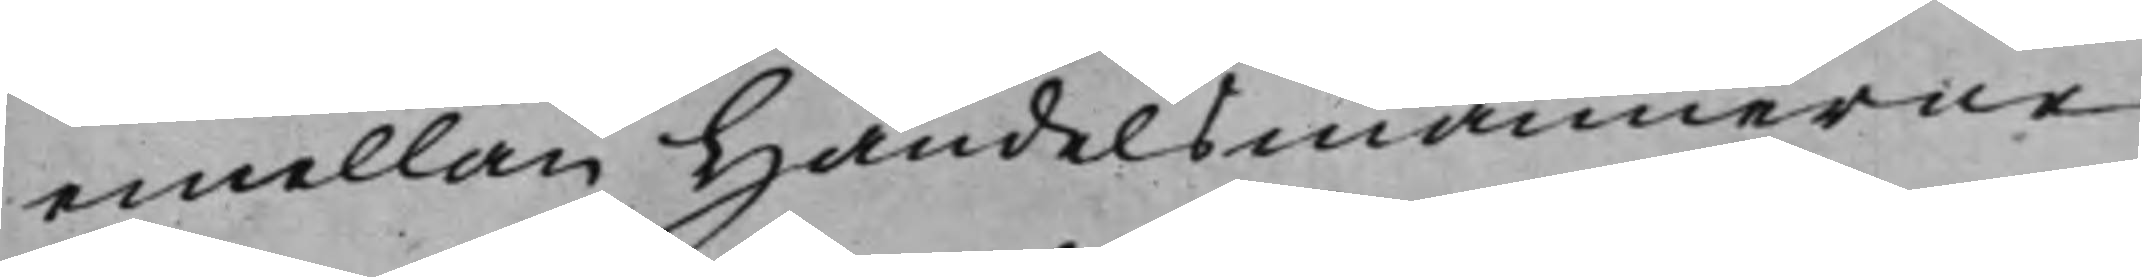emellan Handelsmännerne
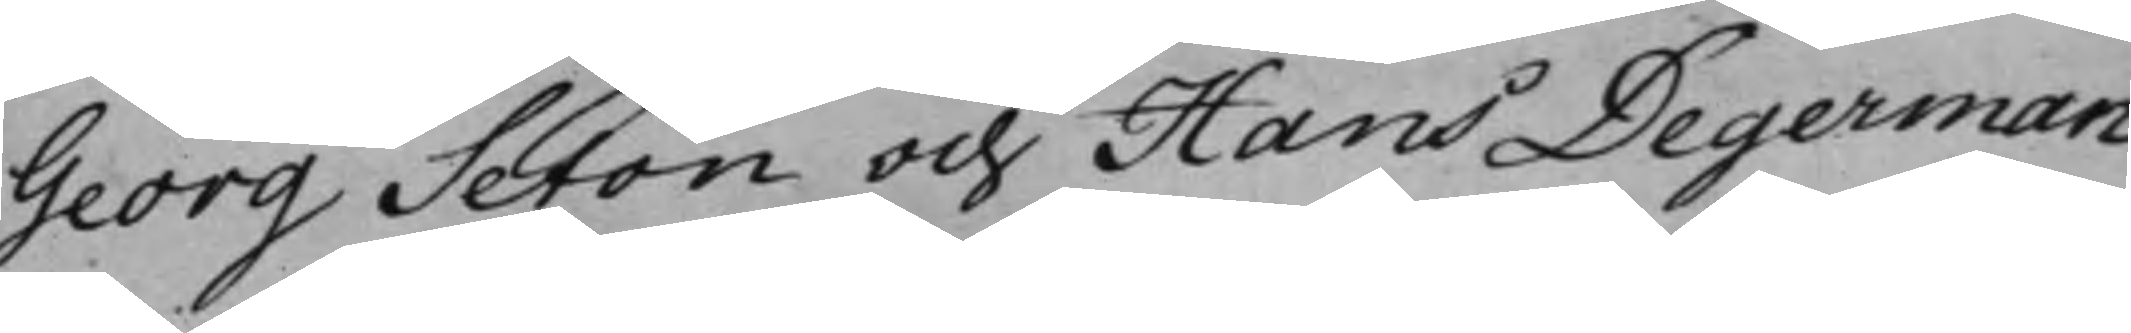Georg Seton och Hans Degerman
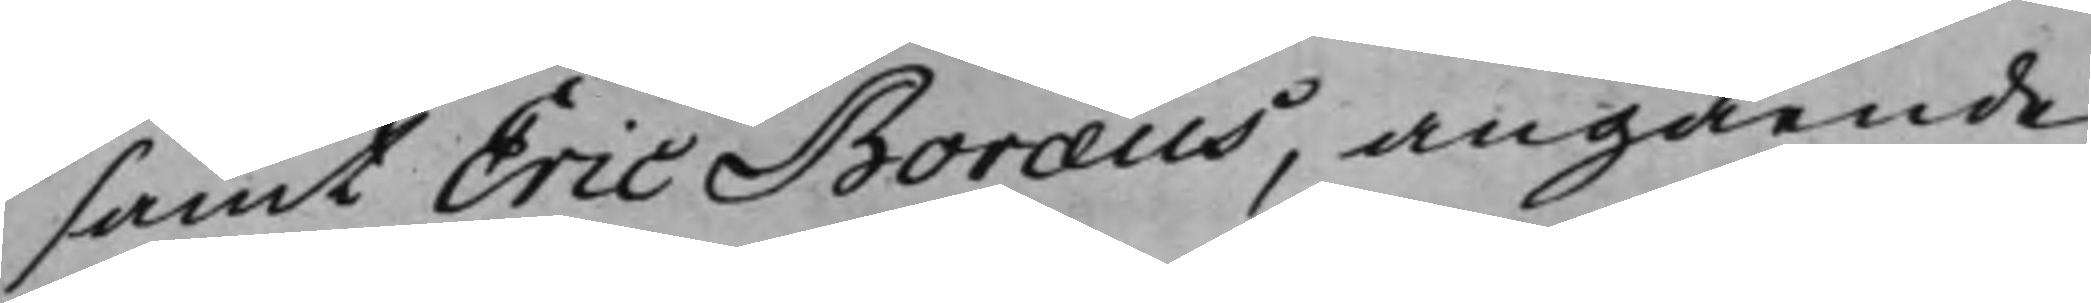samt Eric Boræus, angående
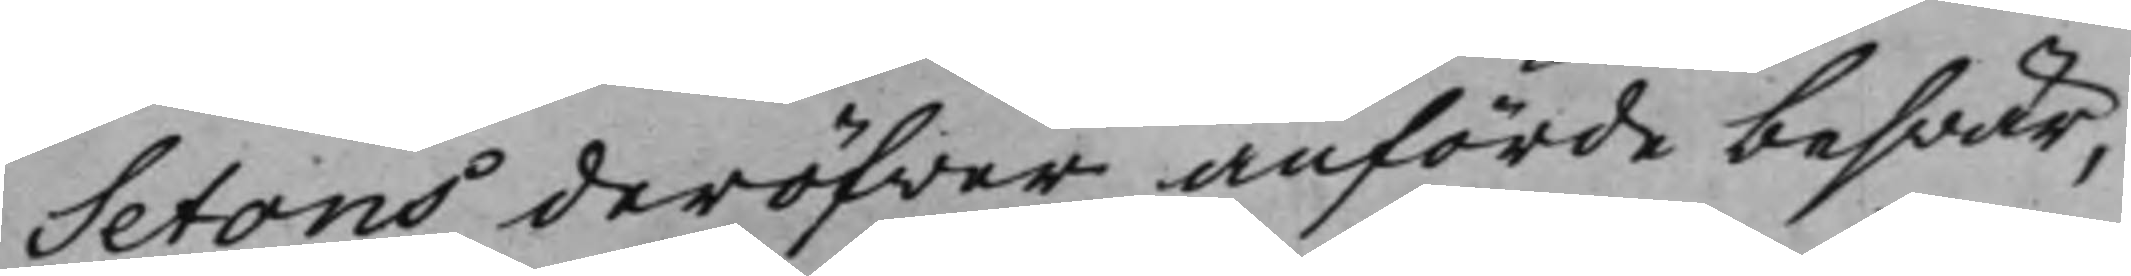Setons deröfwer anförde beswär,
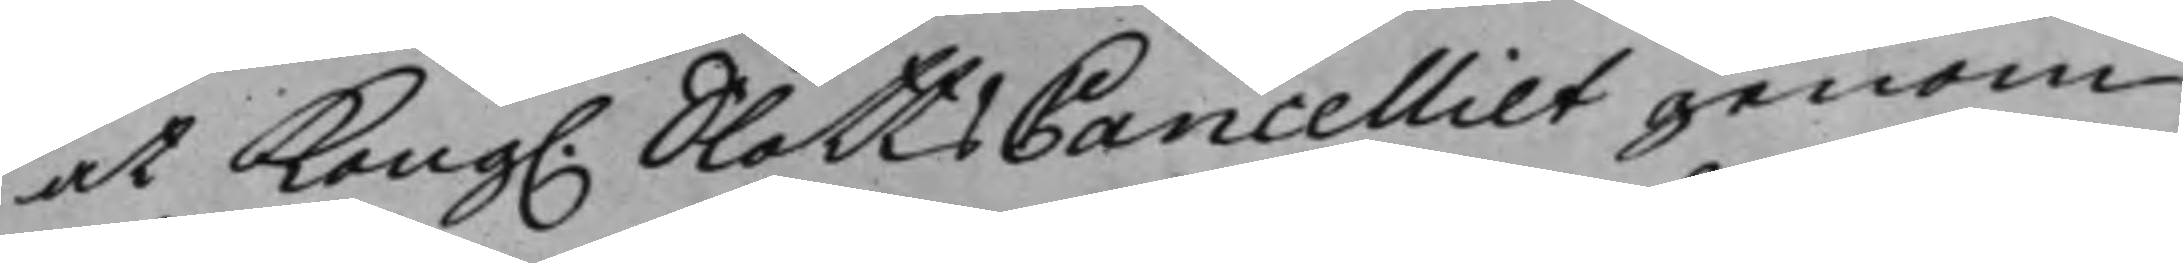at Kong. SlottsCancelliet genom
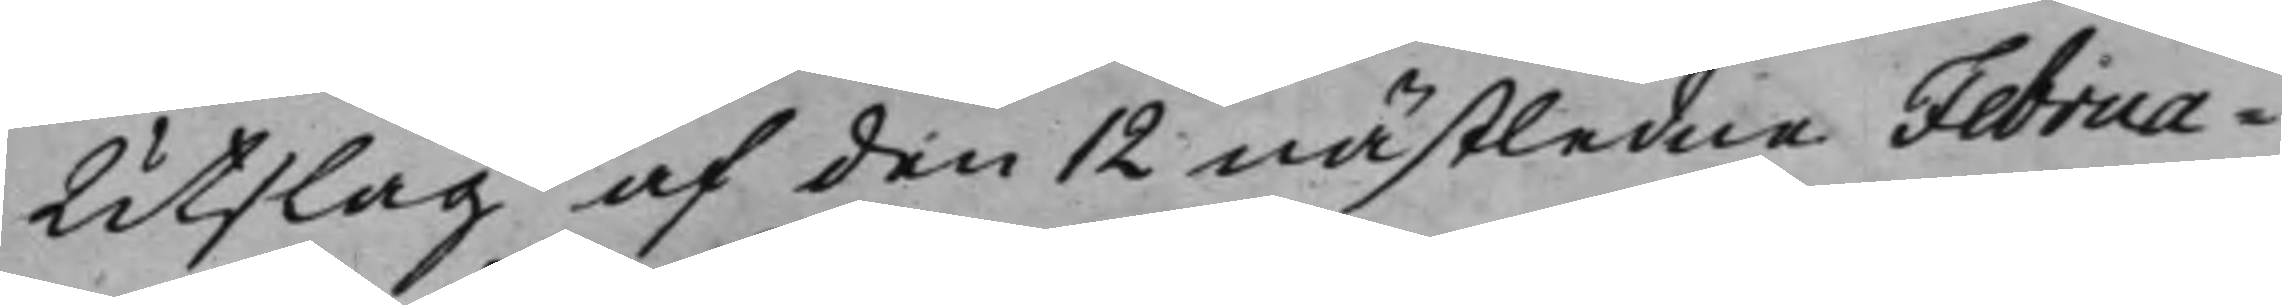Utslag af den 12 nästledne Februa¬
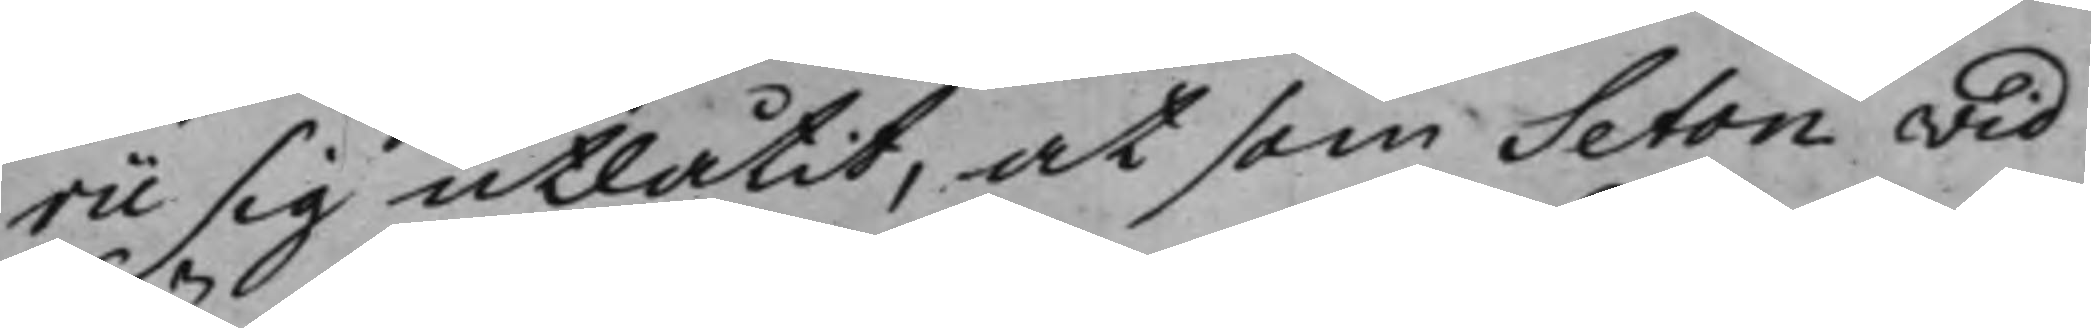rii sig utlåtit, at som Seton wid
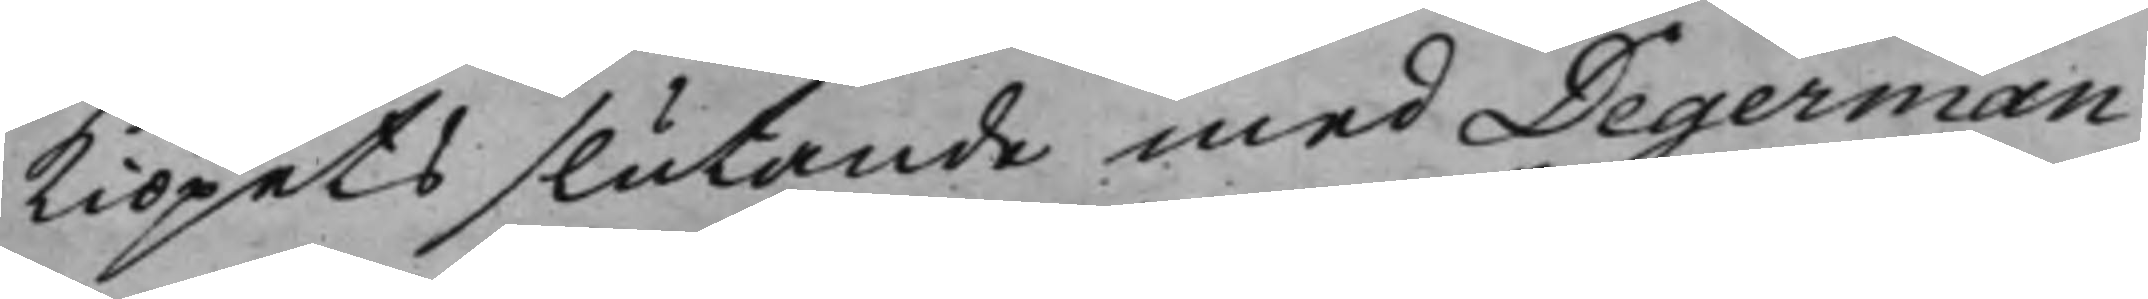kiöpets slutande med Degerman
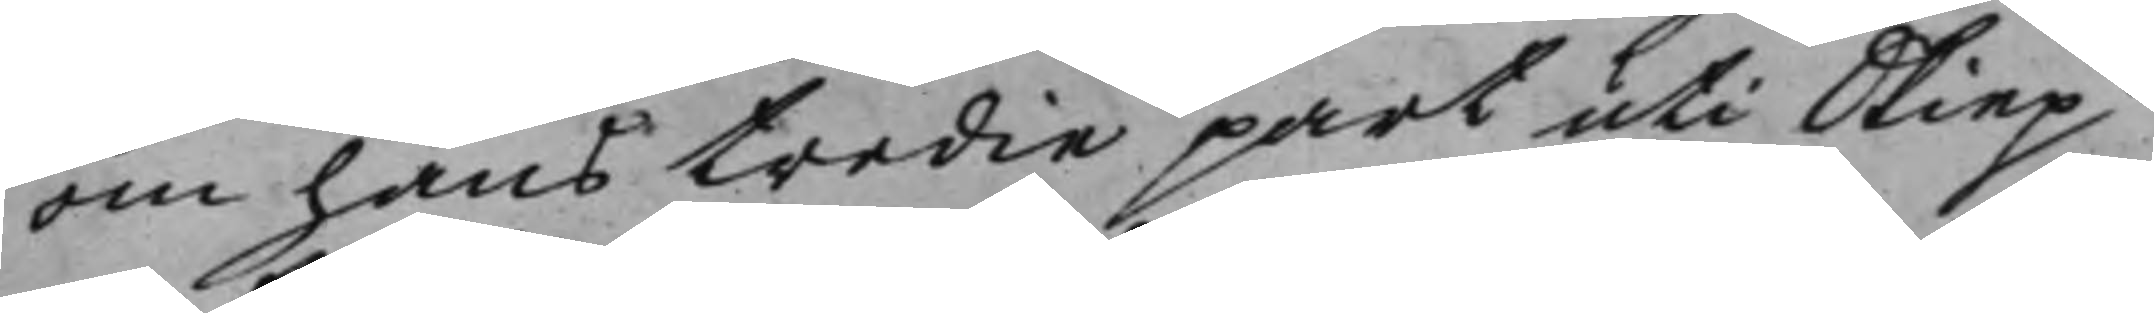om hans tredie part uti Skiep¬
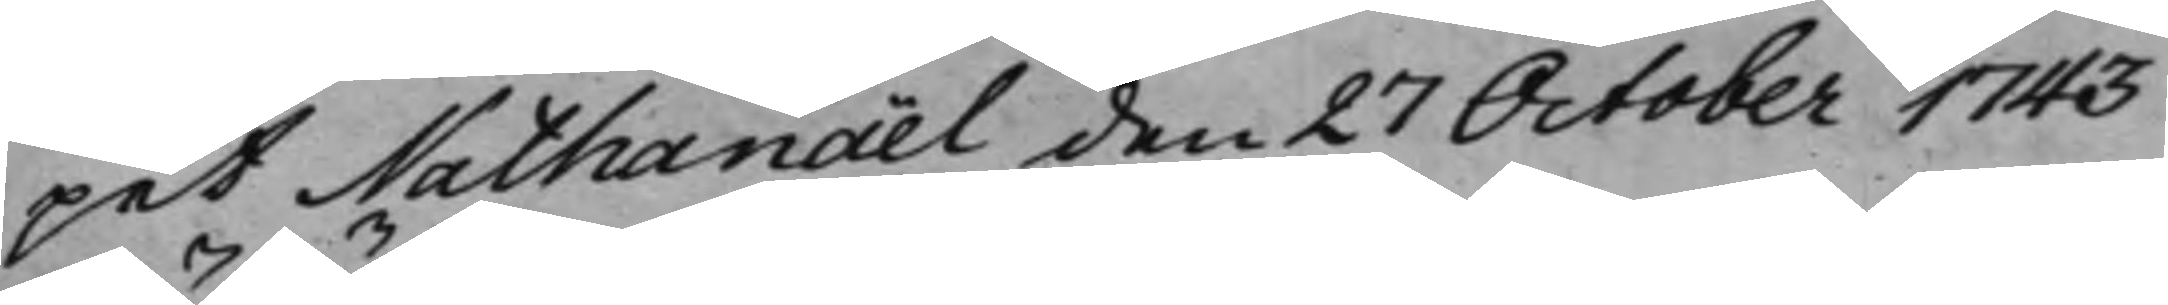pet Nathanaël den 27 October 1743
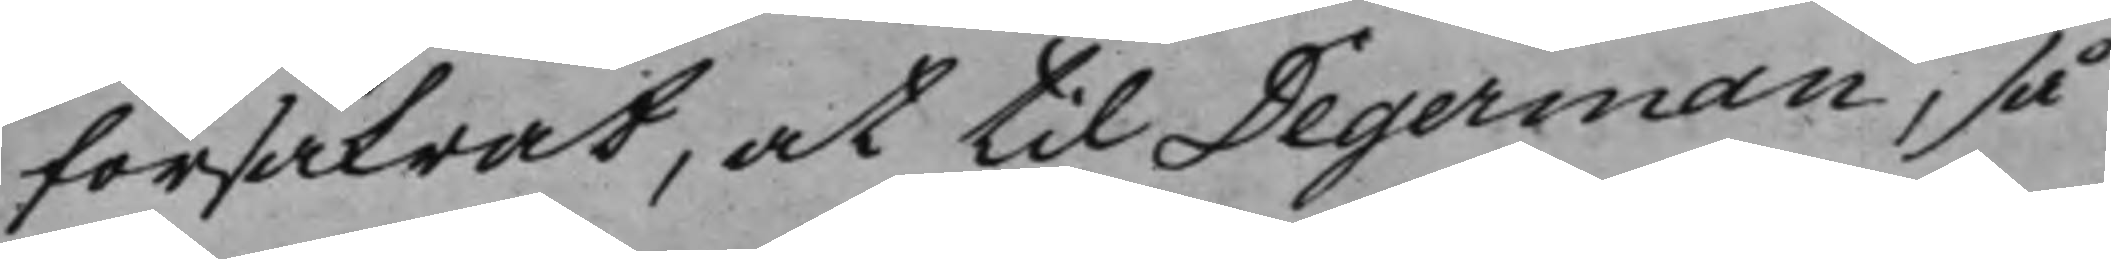försäkrat, at til Degerman, så
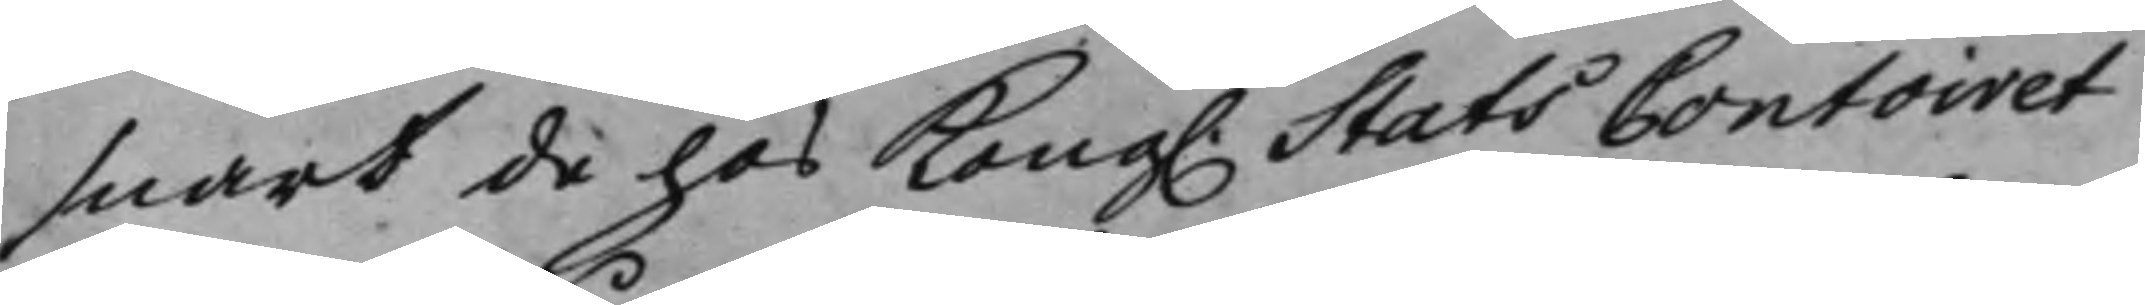snart de hos Kong. StatsContoiret
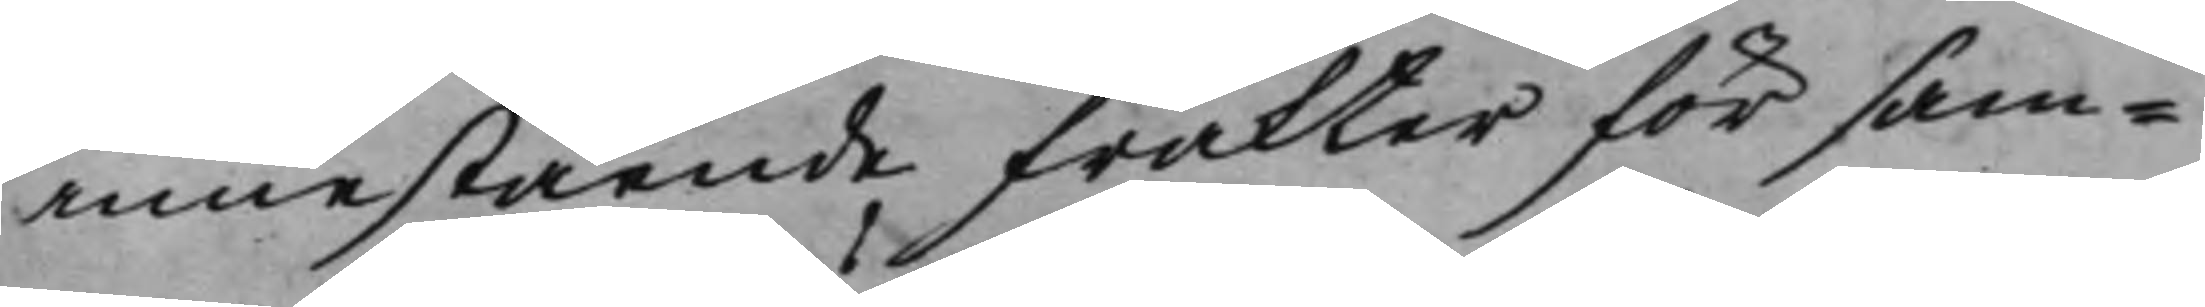innestående frakter för sam¬
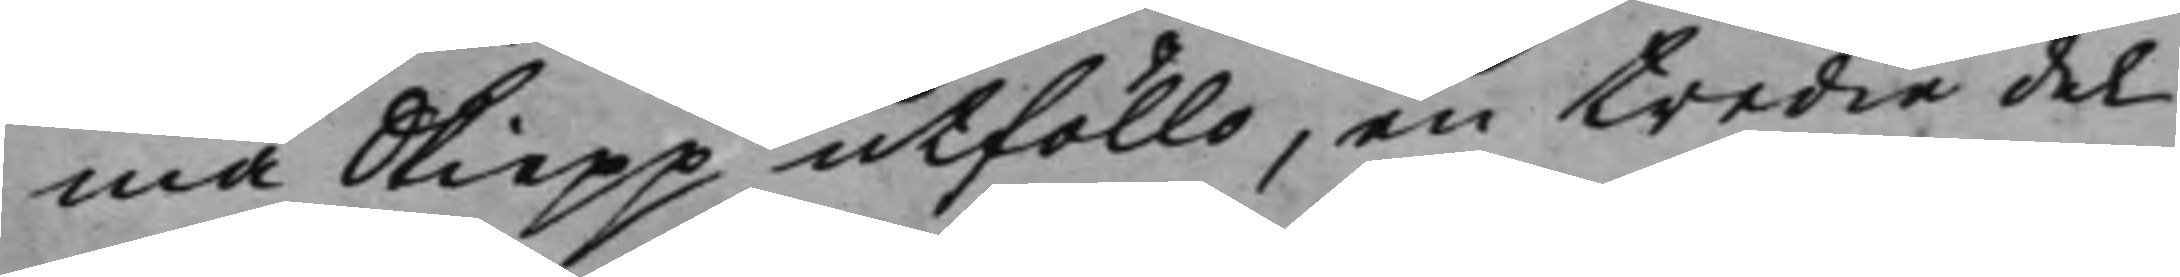ma Skiepp utföllo, en tredie del
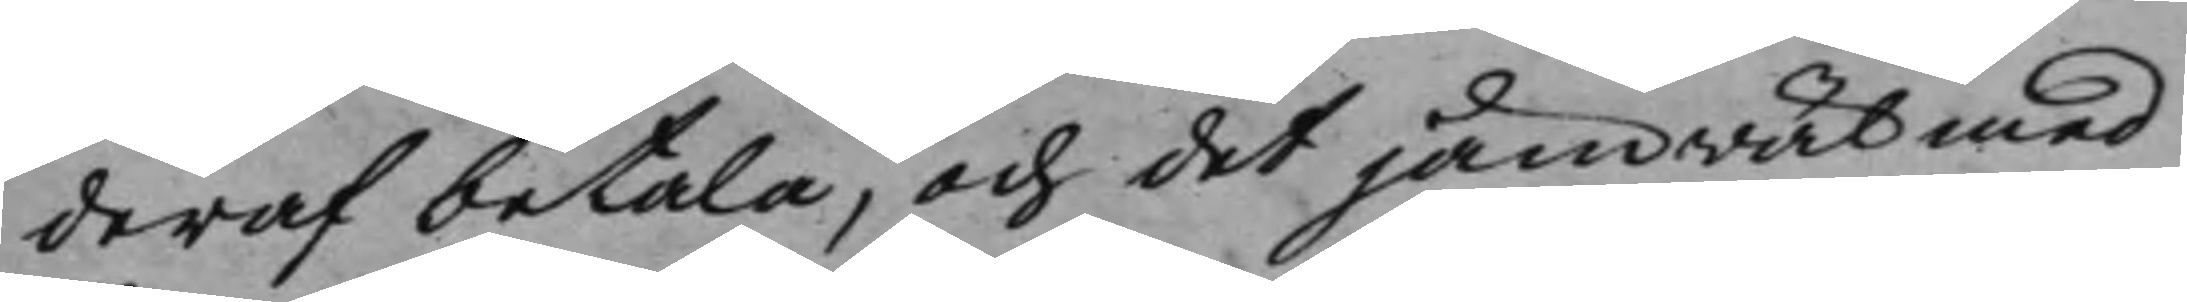deraf betala, och det jämwäl med
